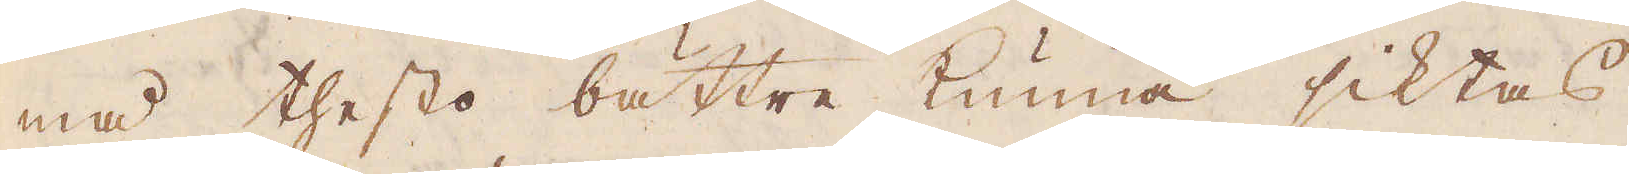må thesto bättre kunna siktas
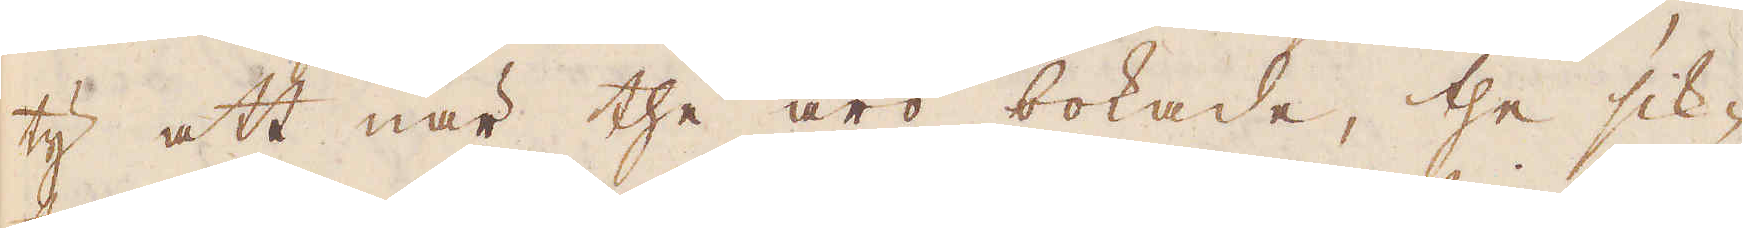ty att när the äro bokade, the sik-
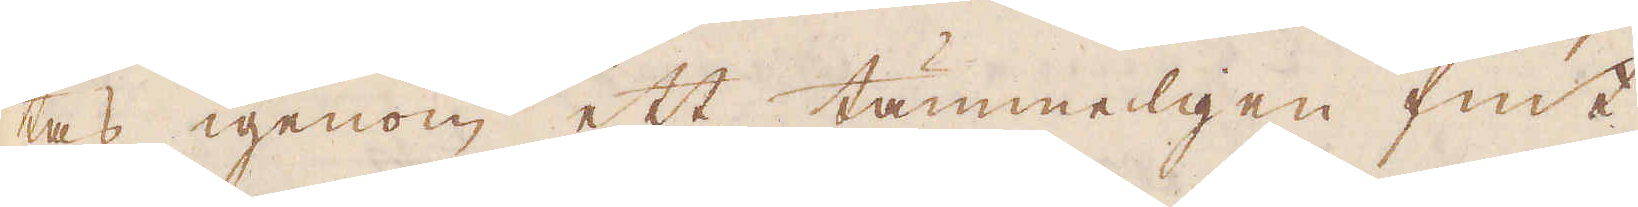tas igenom ett tämmeligen fint
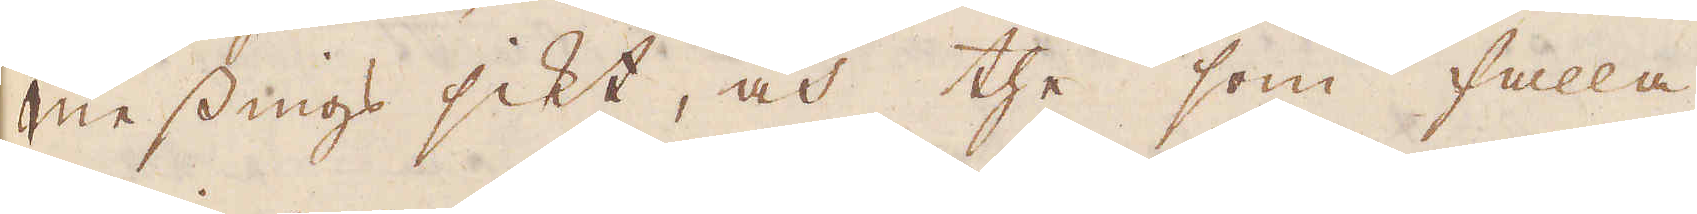messings sikt, och the som falla
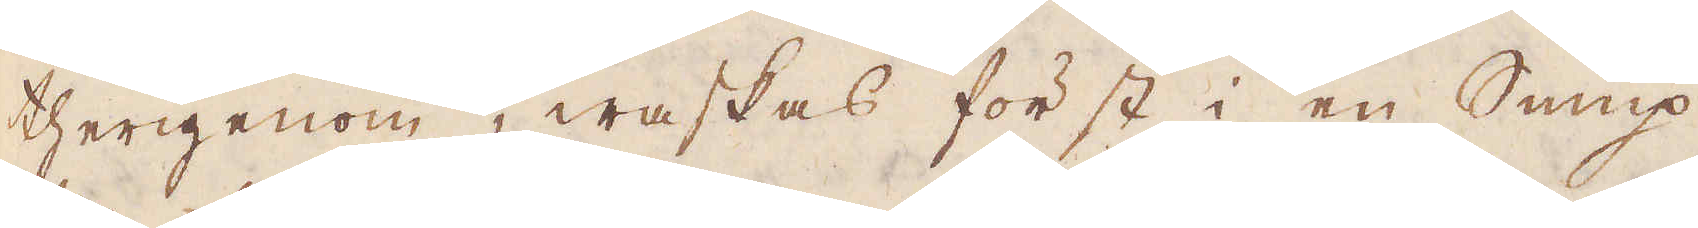therigenom, waskas först i en Sump,
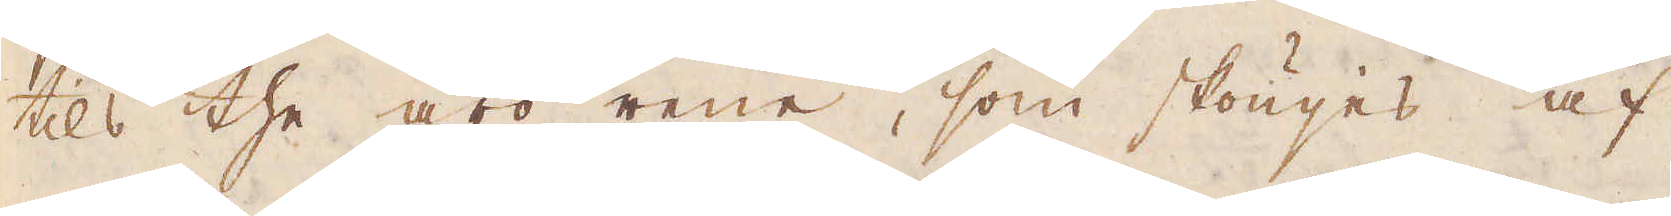tils the äro rene, som skönjes af
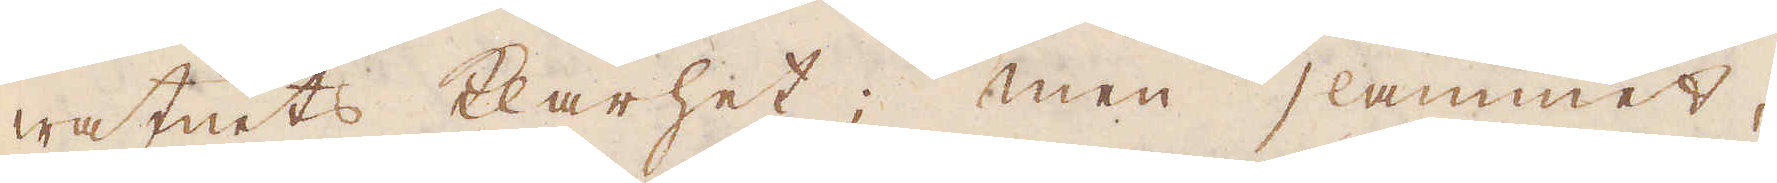watnets klarhet; men slammet,
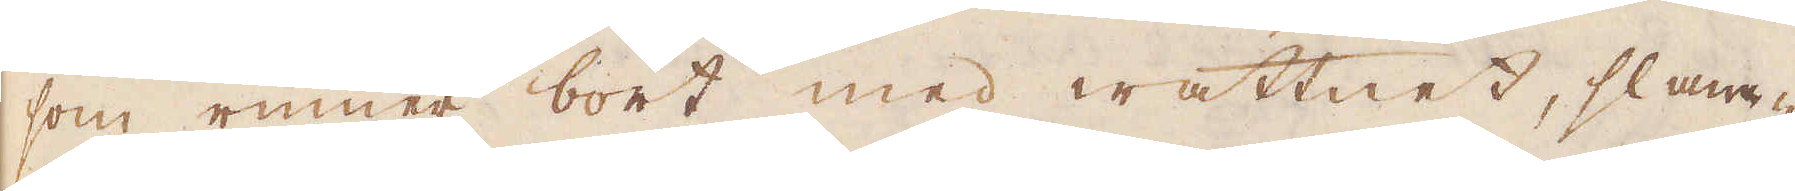som rinner bort med wattnet, slam-
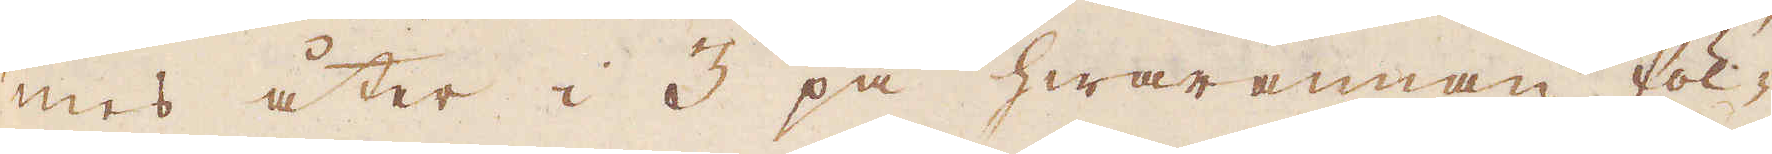mes åter i 3 på hwarannan föl-
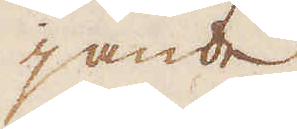jande
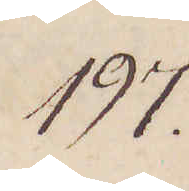197.
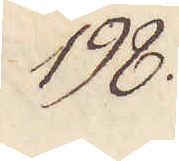198.
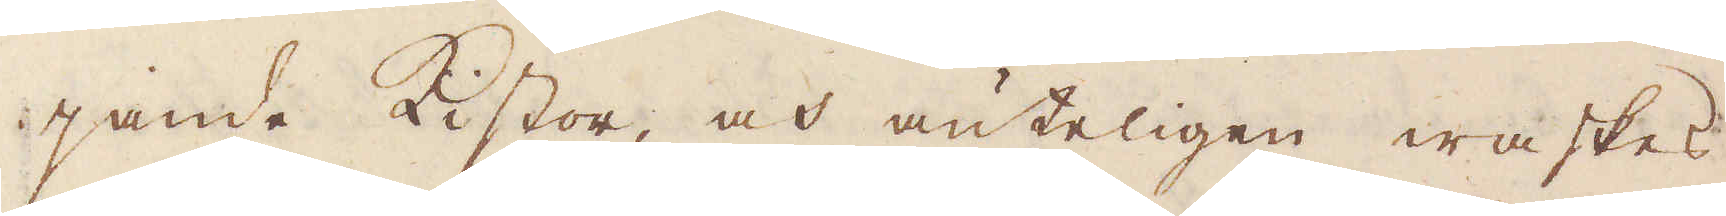jande Kistor, och änteligen waskas
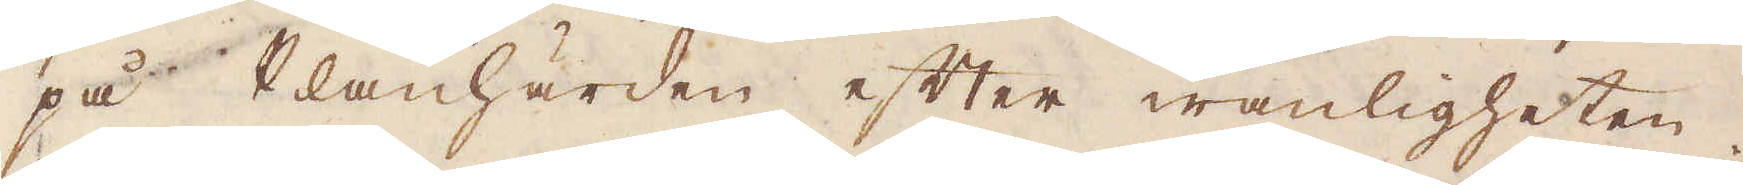på Planhärden efter wanligheten.
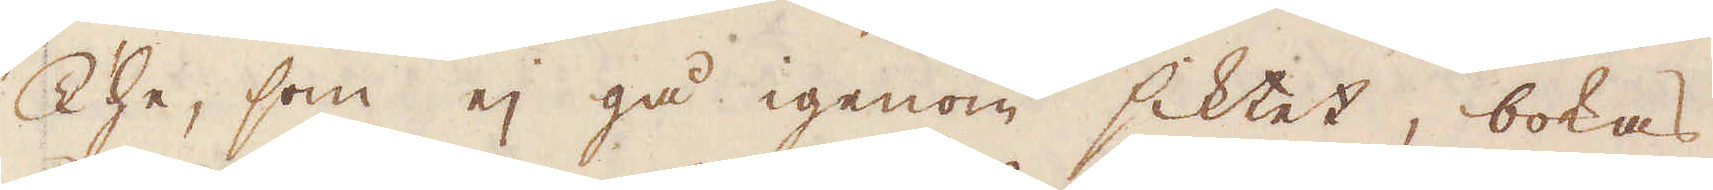The, som ej gå igenom siktet, bokas
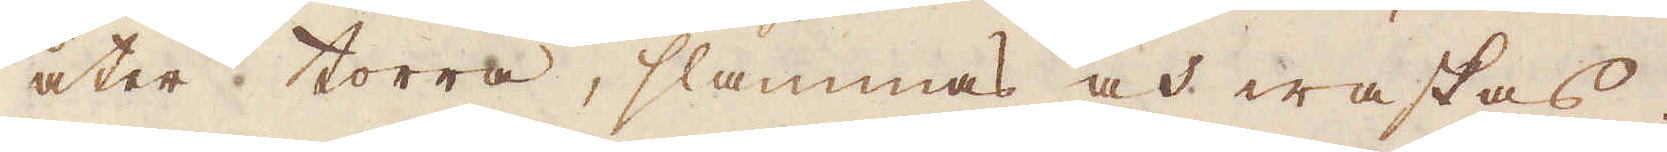åter torra, slammas och waskas.
